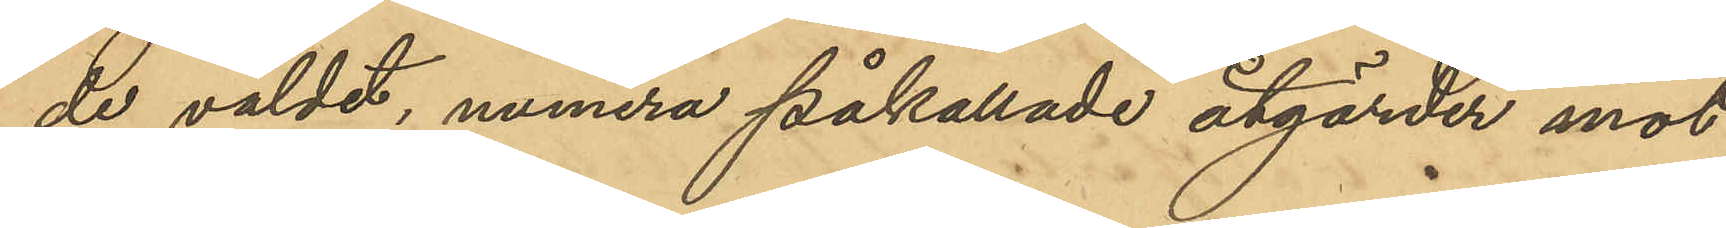de våldet, numera påkallade åtgärder mot
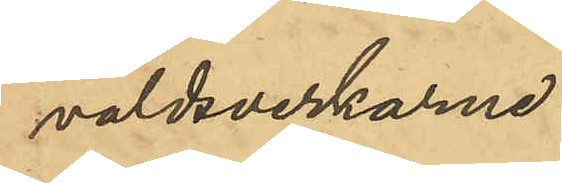våldsverkarna.
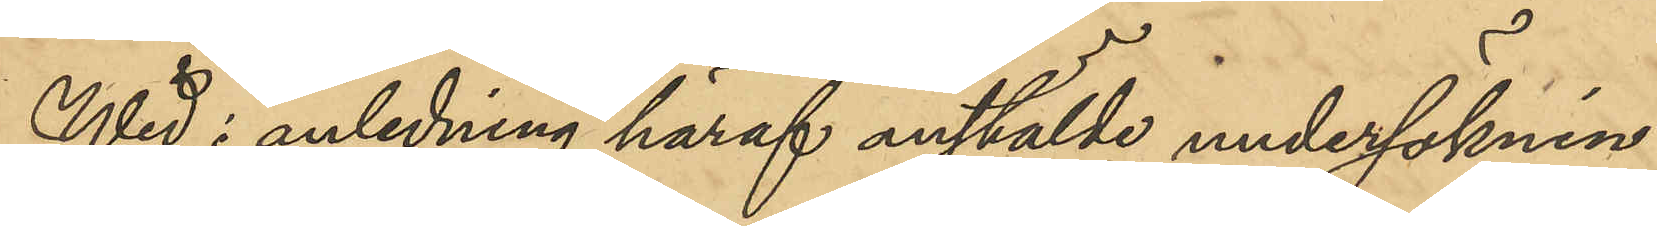Wid med anledning häraf anstälde undersöknin¬
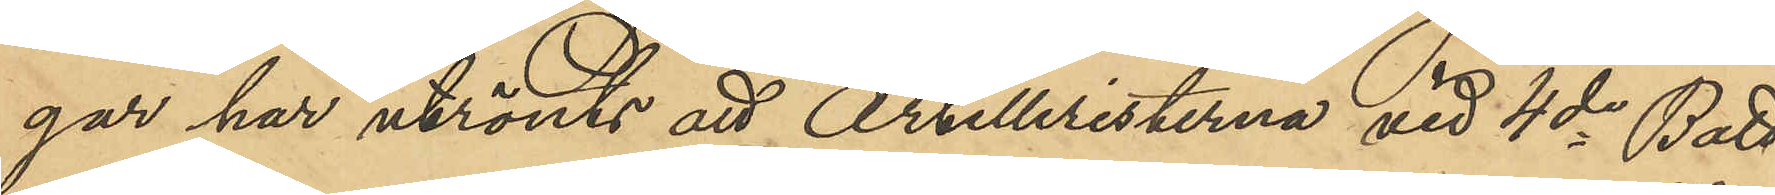gar har utrönts att Artilleristerna vid 4de Batt.
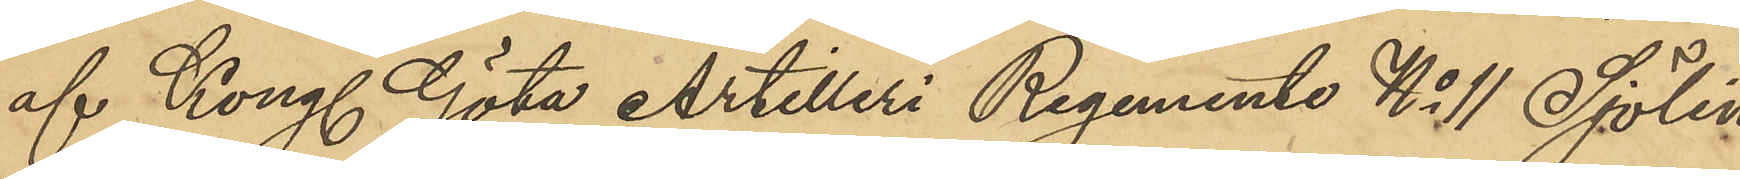af Kongl Göta Artilleri Regemente No 11 Sjölin
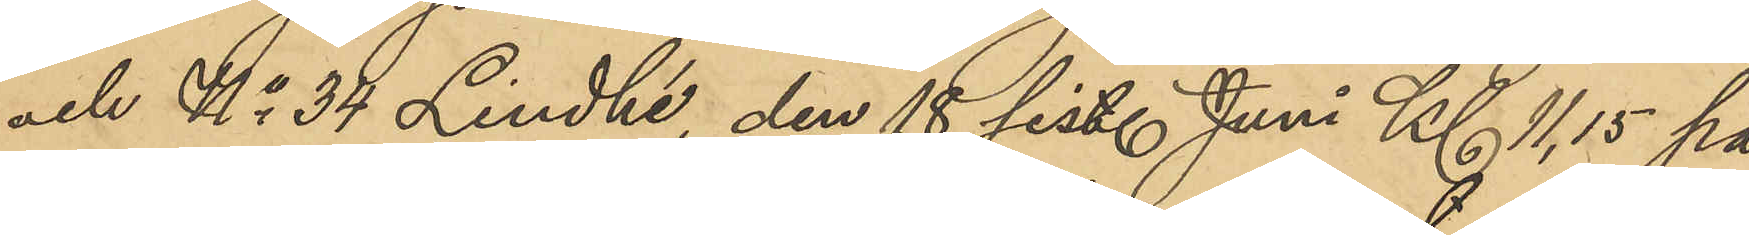och No 34 Lindhé, den 18 sist. Juni Kl 11,15 på
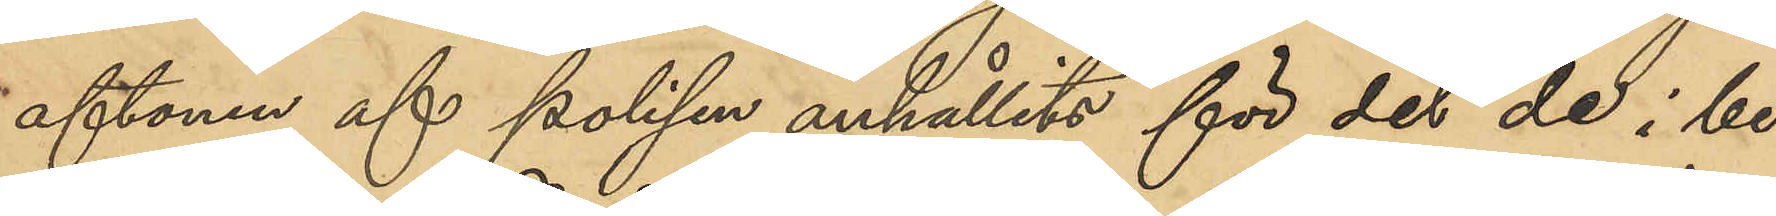aftonen af polisen anhållits för det de i be¬
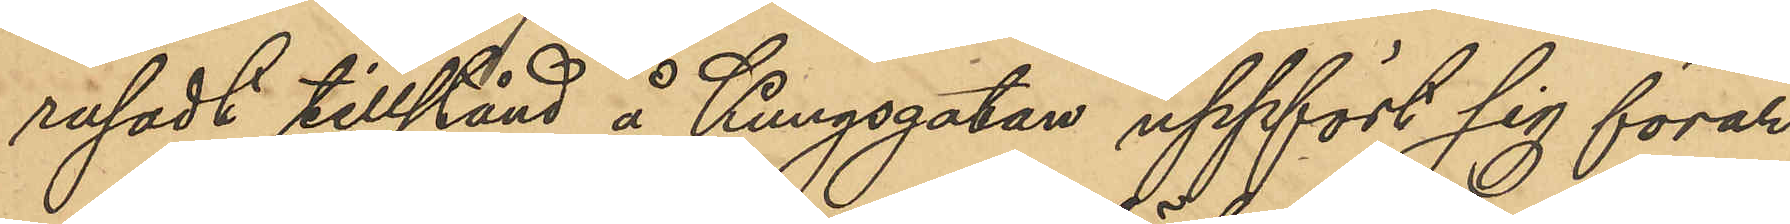rusadt tillstånd å Kungsgatan uppfört sig förar¬
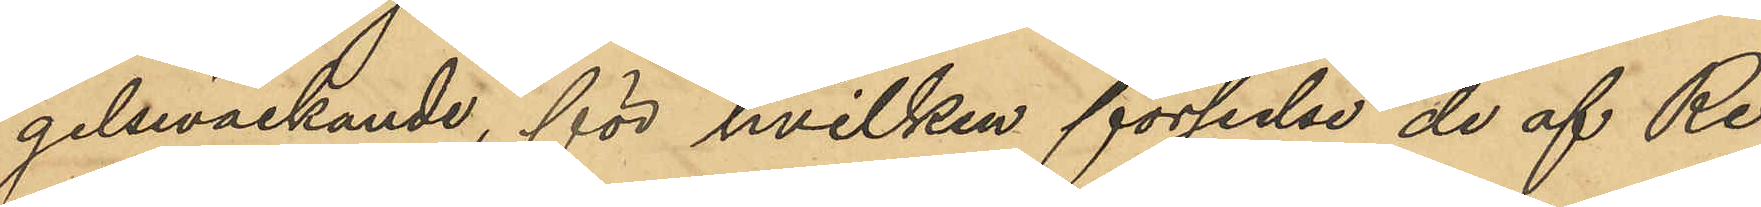gelseväckande, för hvilken förseelse de af Re¬
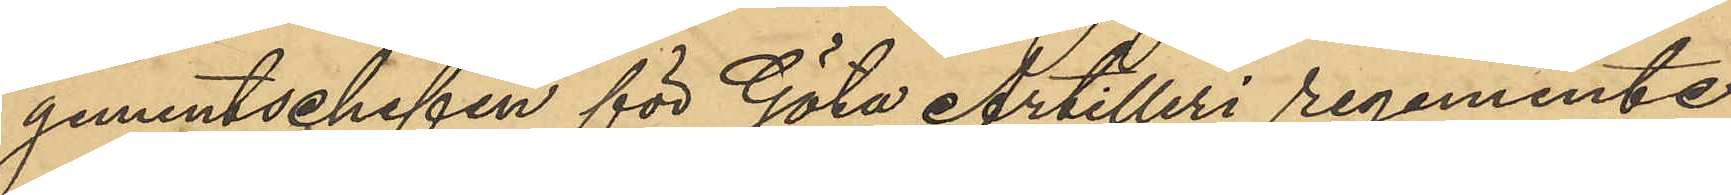gementschefen för Göta Artilleri regemente
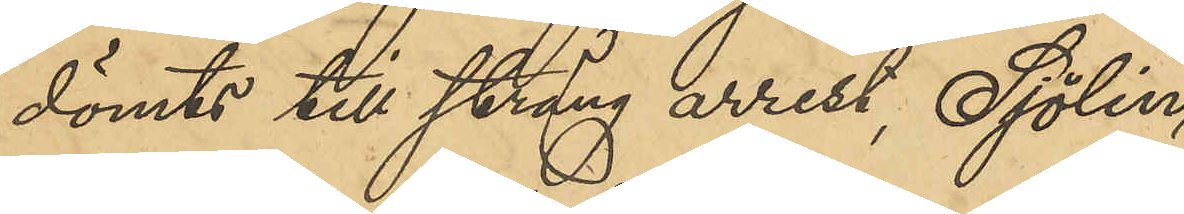dömts till sträng arrest, Sjölin
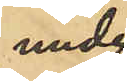under
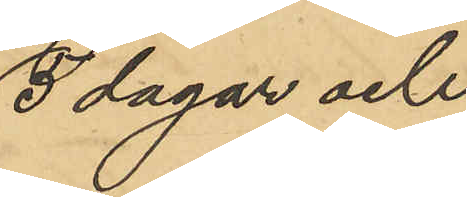5 dagar och
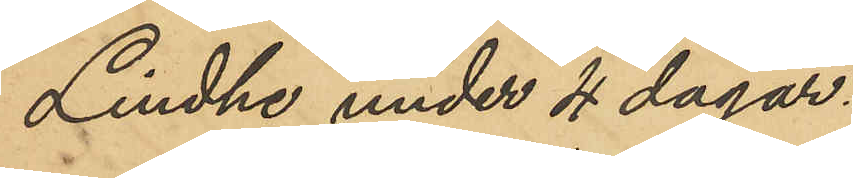Lindhe under 4 dagar.
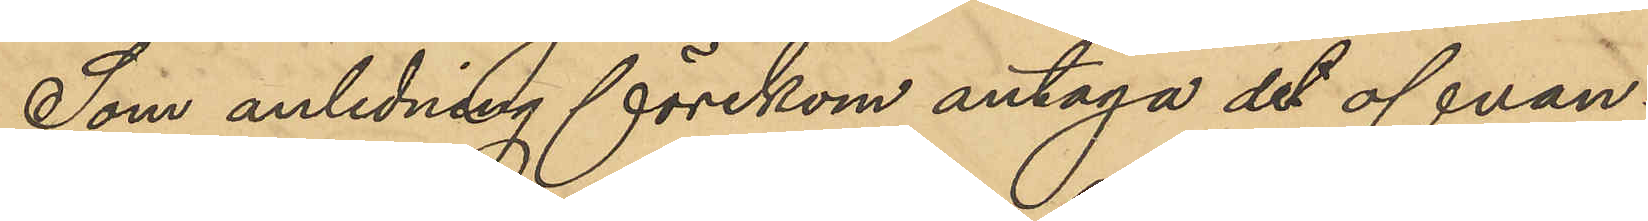Som anledning förekom antaga det ofvan¬
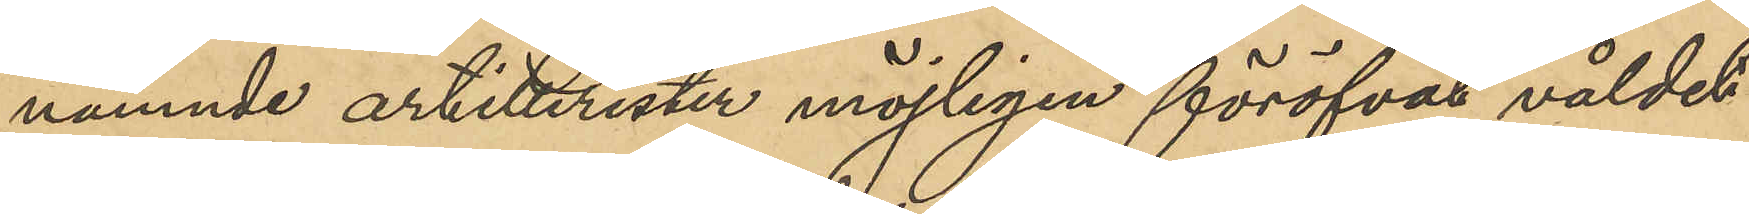nämnde artillerister möjligen föröfvat våldet
